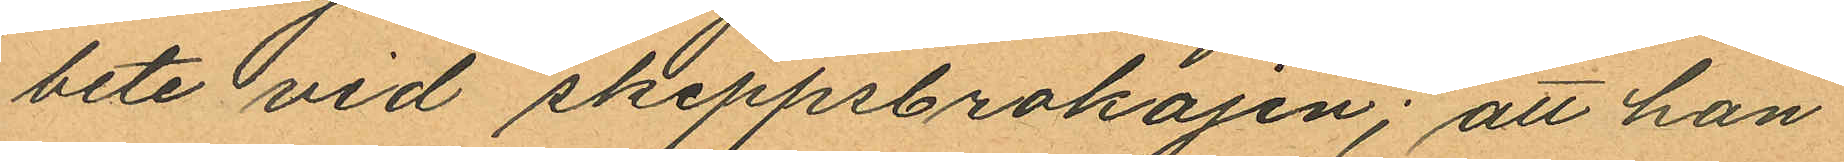bete vid skeppsbrokajen; att han
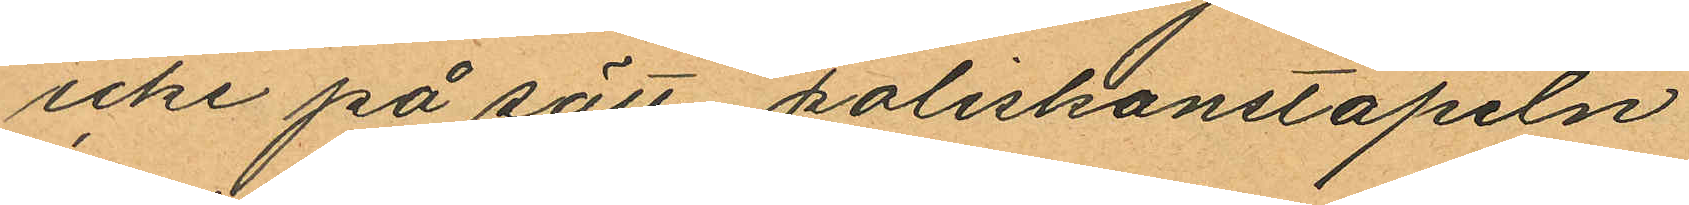icke på sätt poliskonstapeln
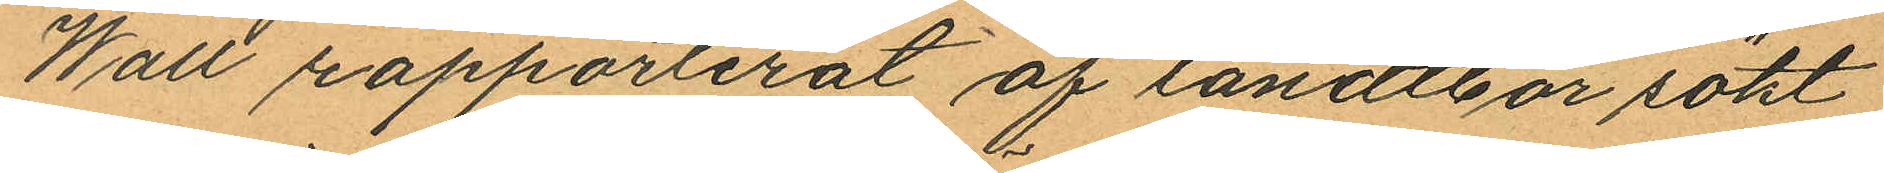Wall rapporterat af landtbor sökt
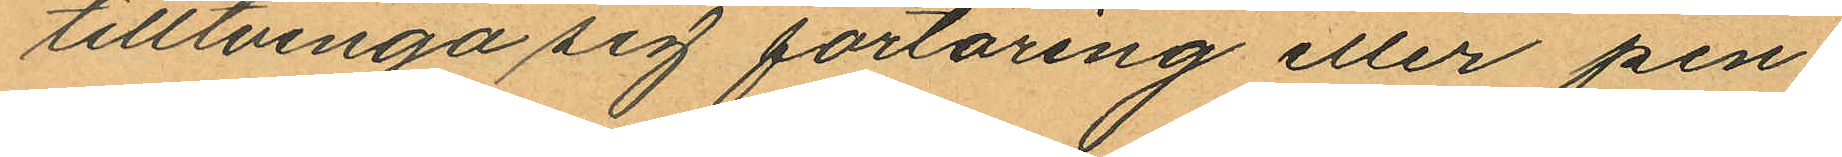tilltvinga sig förtäring eller pen¬
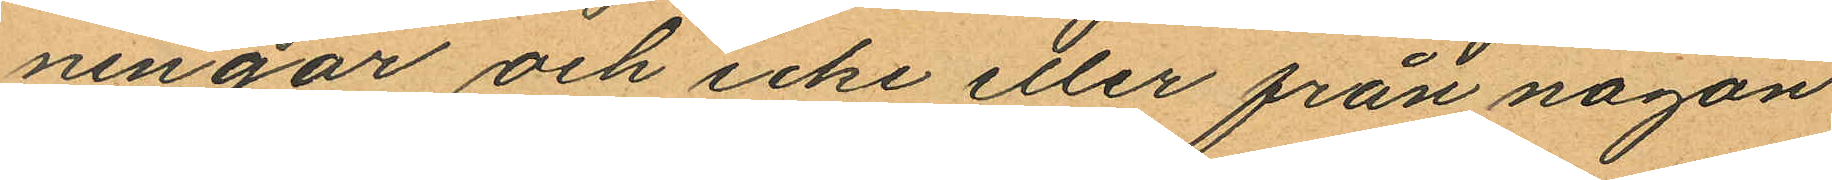ningar och icke eller från någon
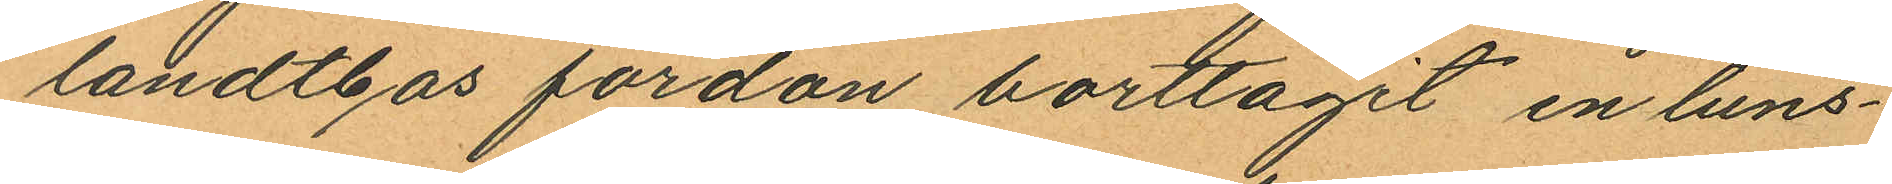landtbos fordon borttagit en luns¬
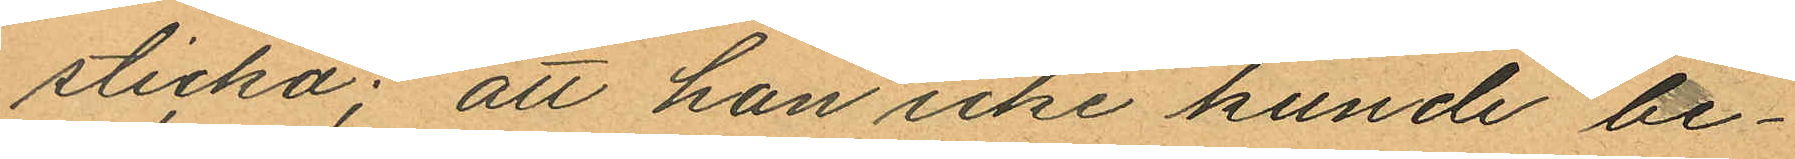sticka; att han icke kunde be¬
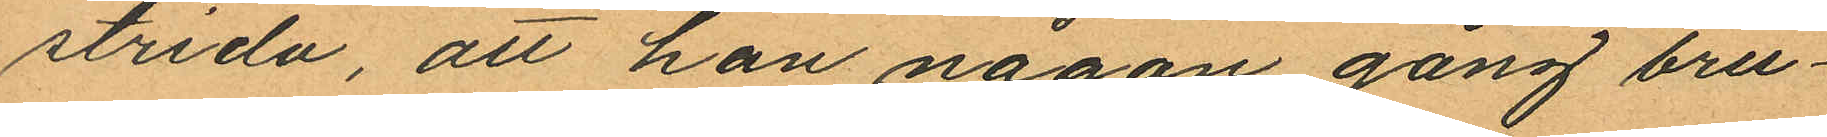strida, att han någon gång bru¬
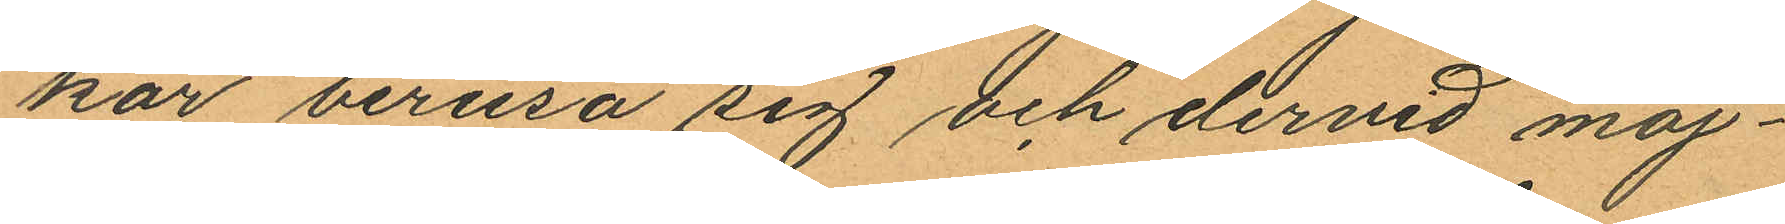kar berusa sig och dervid möj¬
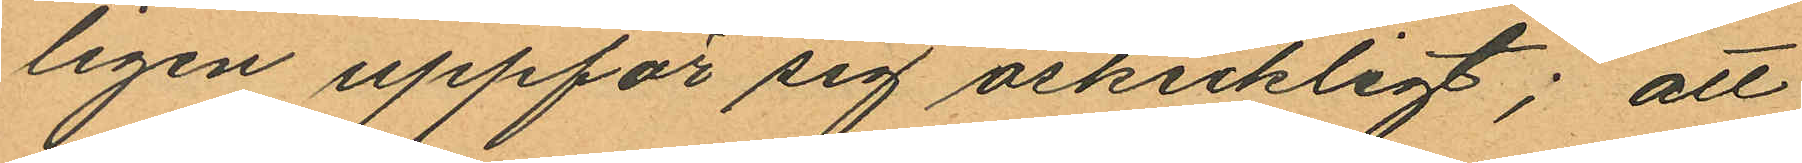ligen uppför sig oskickligt; att
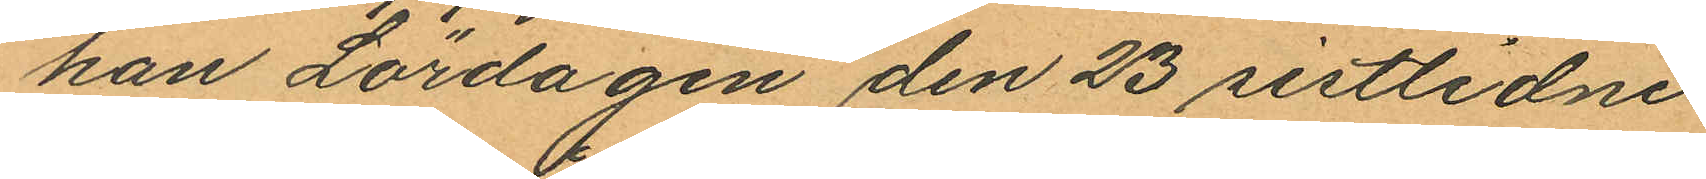han Lördagen den 23 sistlidne
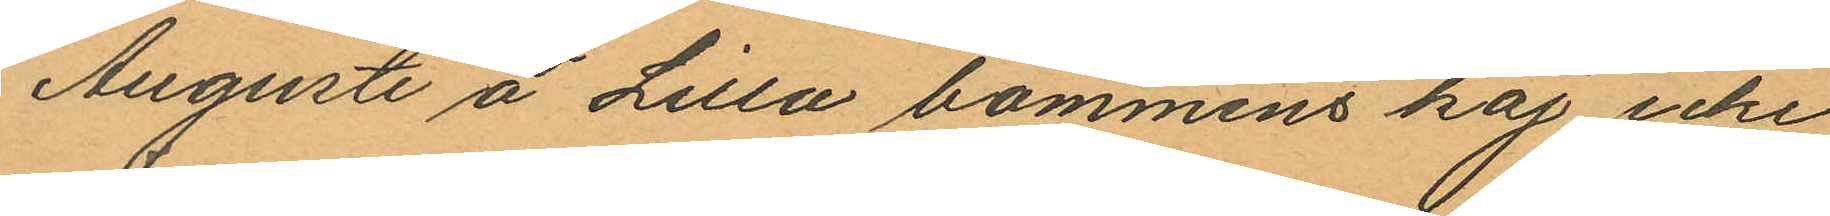Augusti å Lilla bommens kaj icke
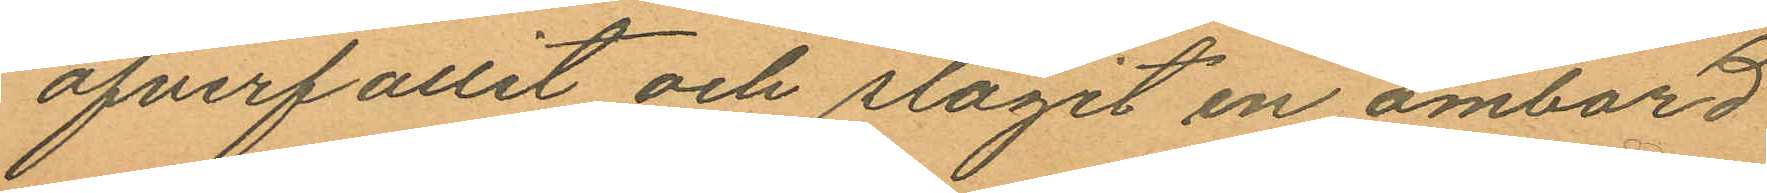öfverfallit och slagit en ombord
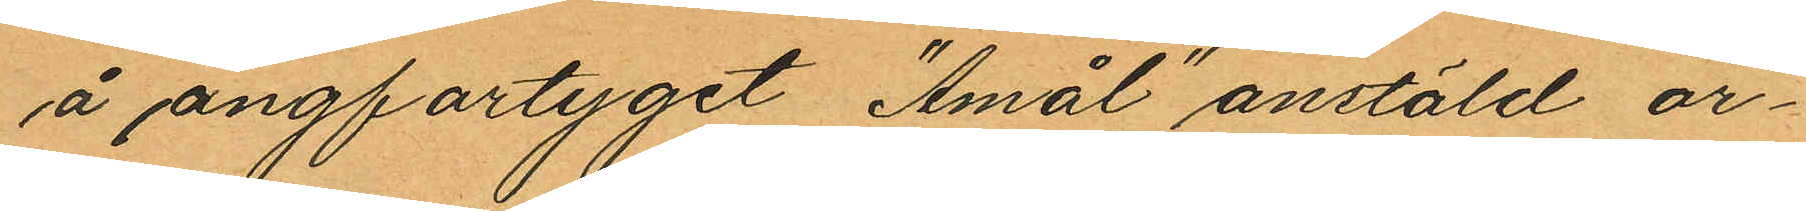å ångfartyget "Åmål" anstäld ar¬
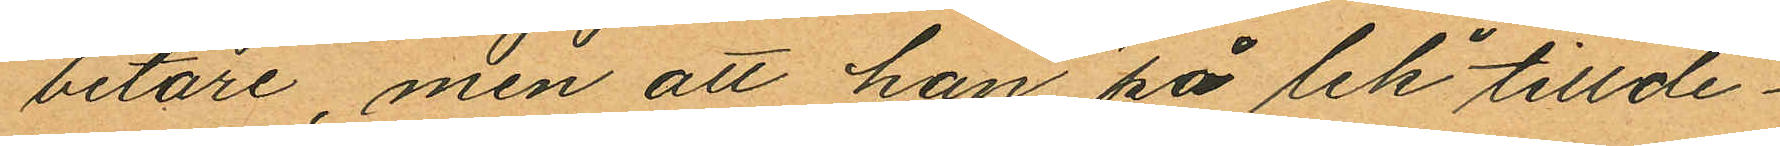betare, men att han "på lek" tillde¬
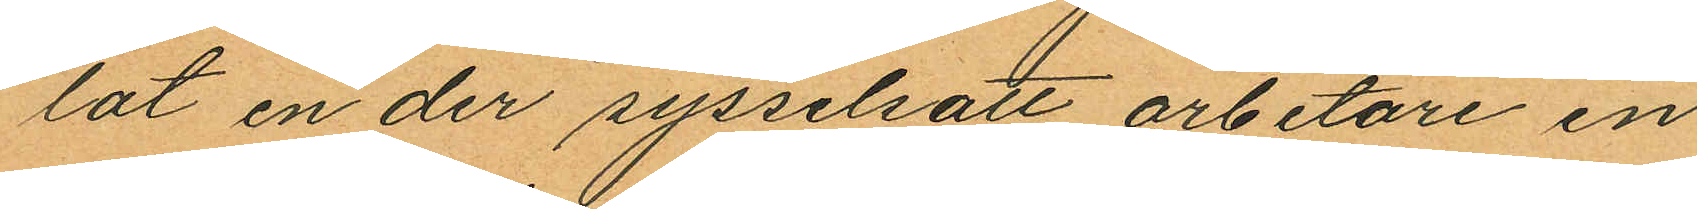lat en der sysselsatt arbetare en
